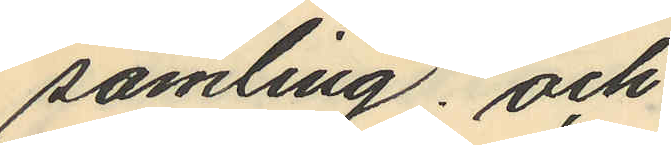samling; och
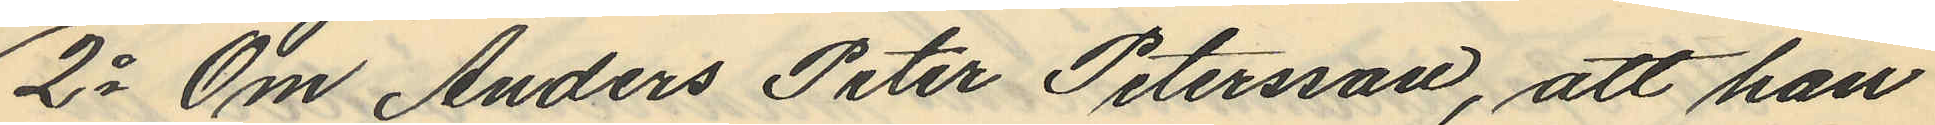2o Om Anders Peter Petersson, att han
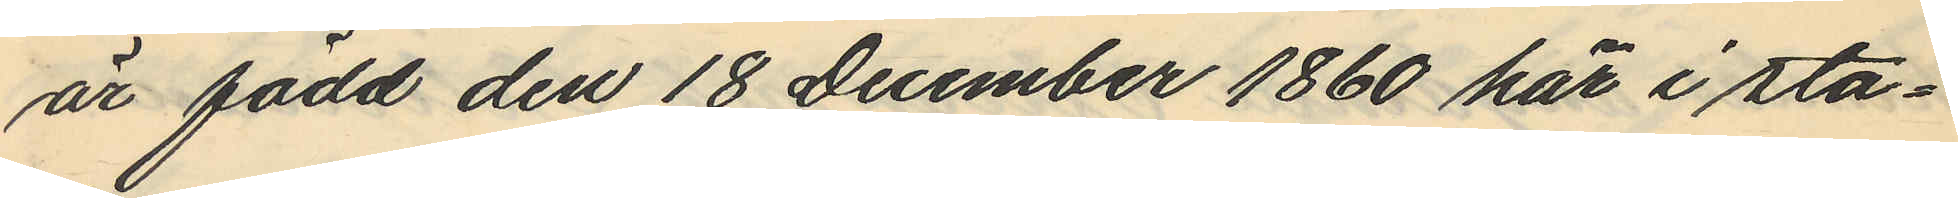är född den 18 December 1860 här i sta¬
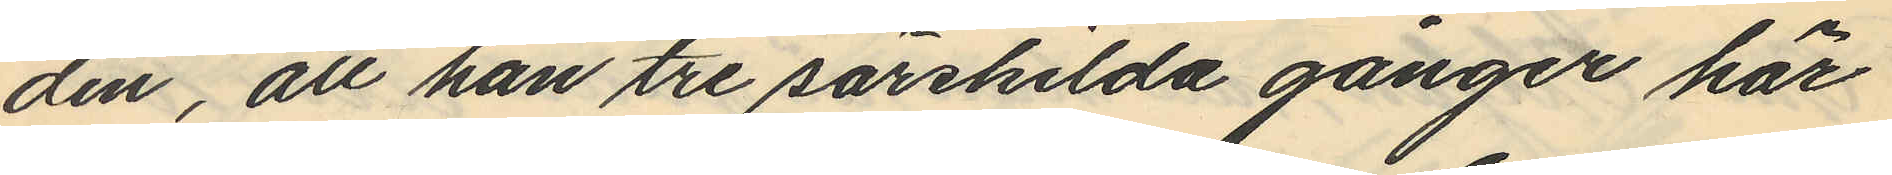den, att han tre särskilda gånger här
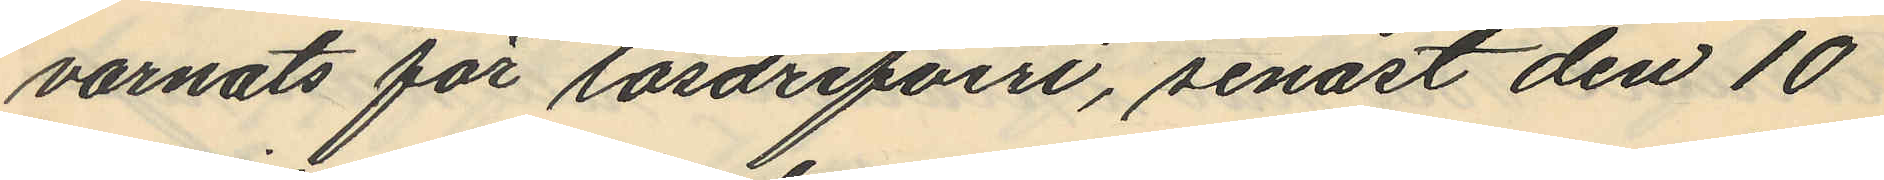varnats för lösdrifveri, senast den 10
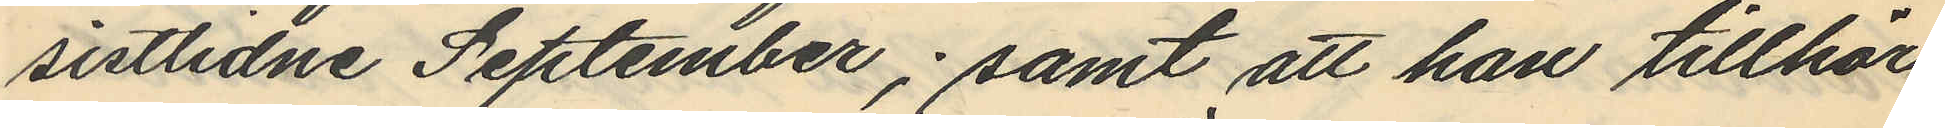sistlidne September; samt att han tillhör
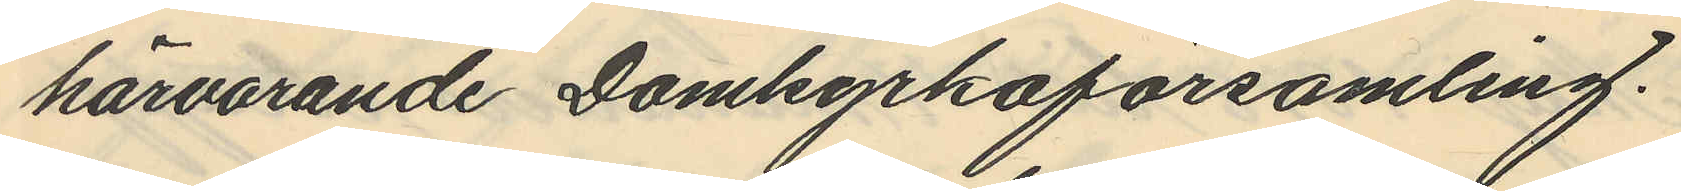härvarande Domkyrkoförsamling.
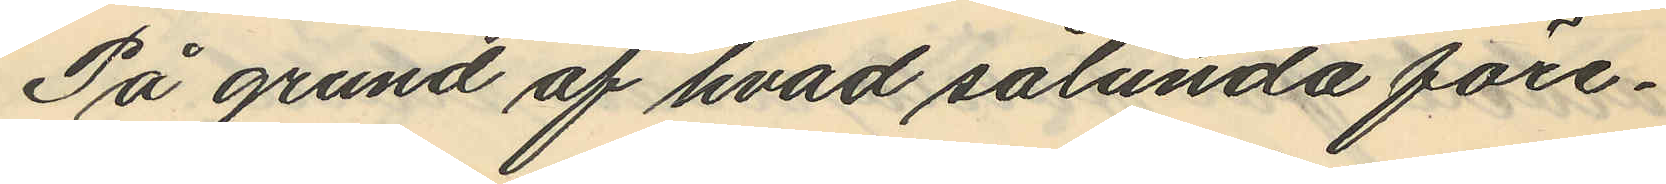På grund af hvad sålunda före¬
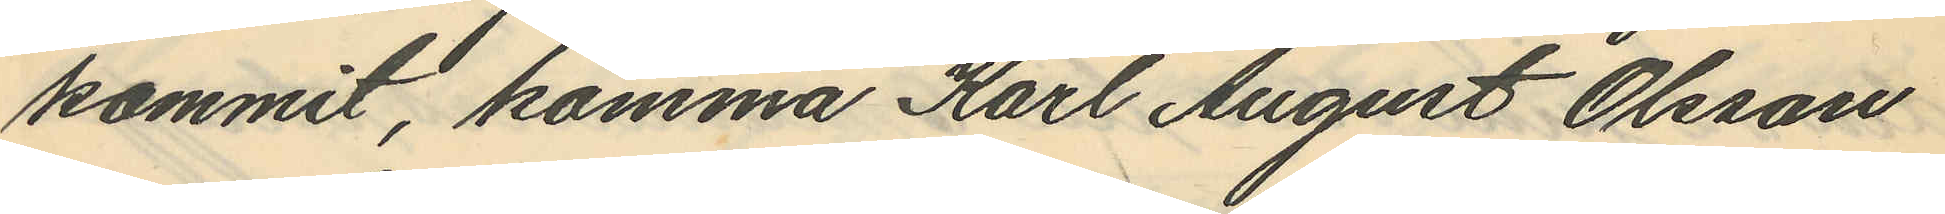kommit, komma Karl August Olsson
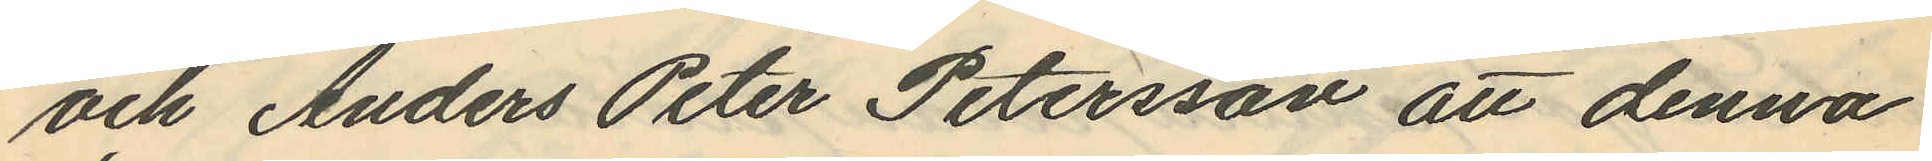och Anders Peter Petersson att denna
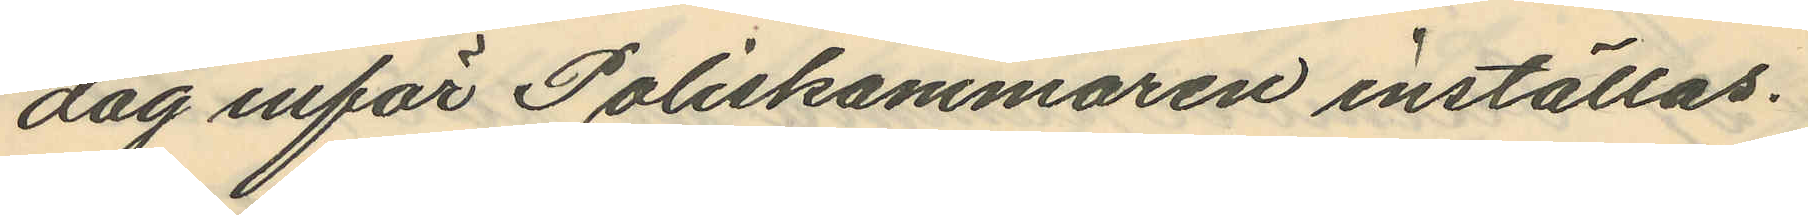dag inför Poliskammaren inställas.
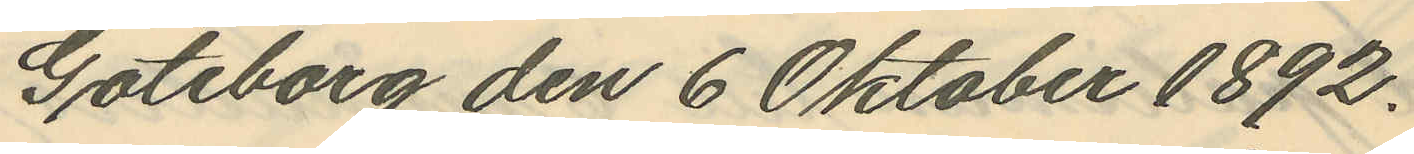Göteborg den 6 Oktober 1892.
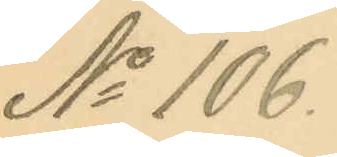No 106.
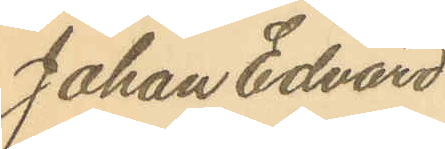Johan Edvard
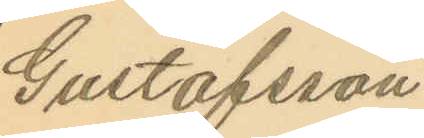Gustafsson
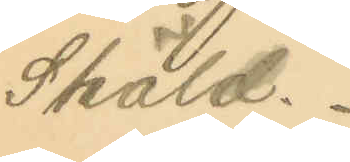Sköld.
